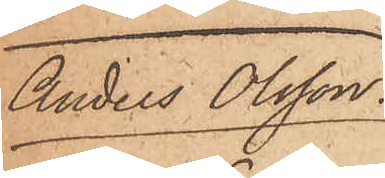Anders Olsson
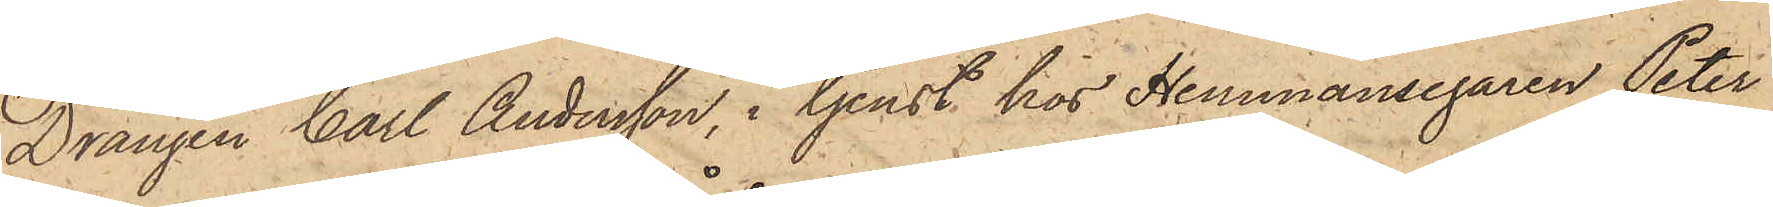Drängen Carl Andersson, i tjenst hos Hemmansegaren Peter
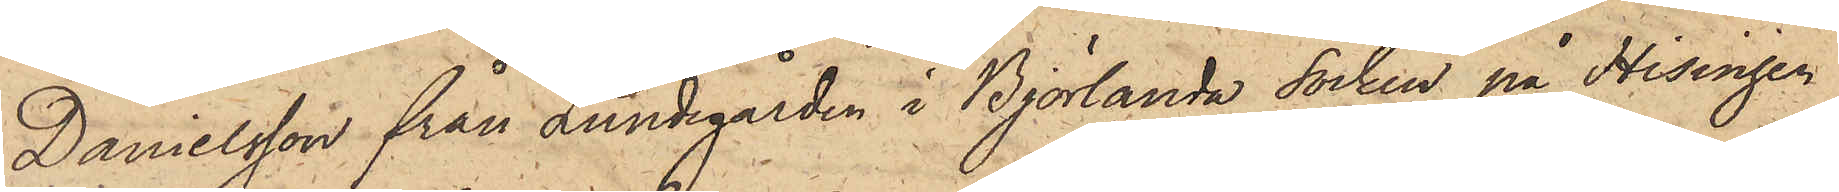Danielsson från Lundgården i Björlanda socken på Hisingen
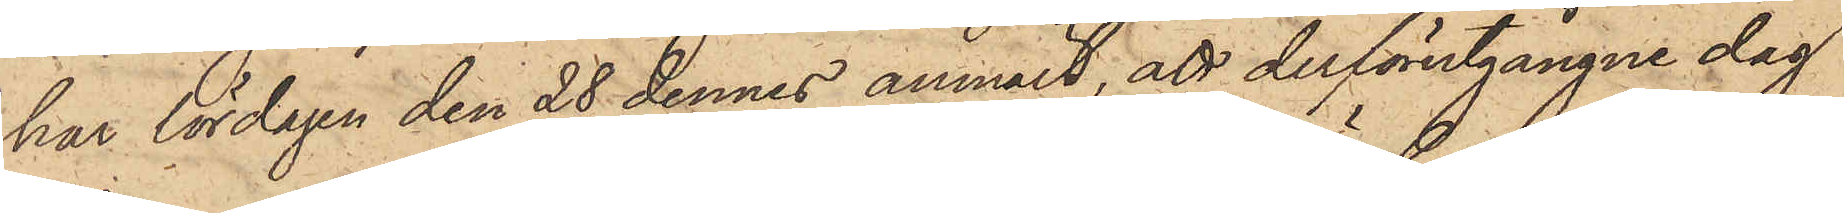har lördagen den 28 dennes anmält, att derförutgångne dag
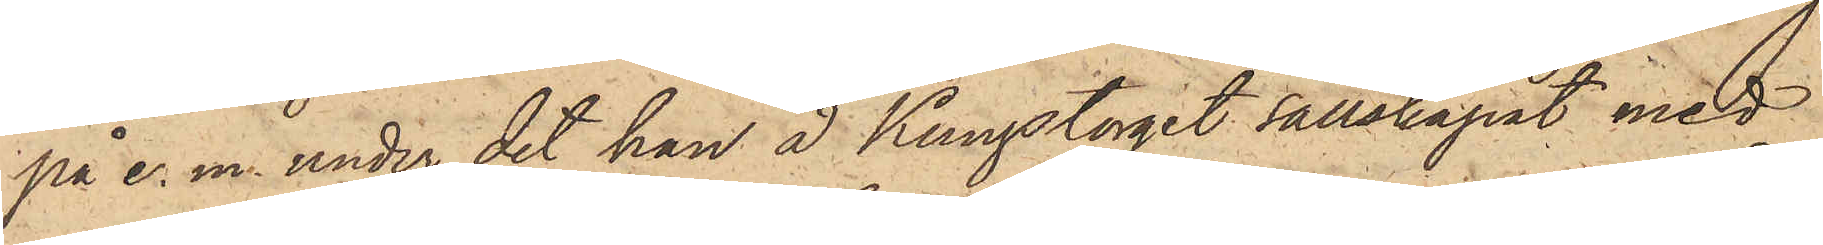på e. m. under det han å Kungstorget sällskapat med
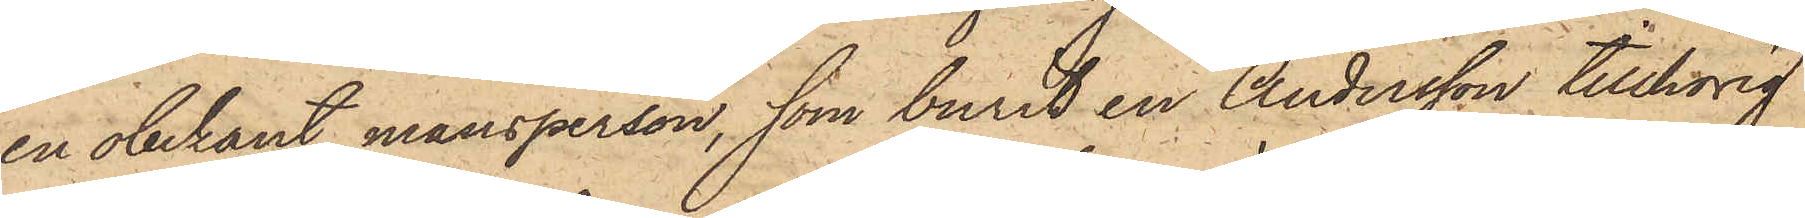en obekant mansperson, som burit en Andersson tillhörig
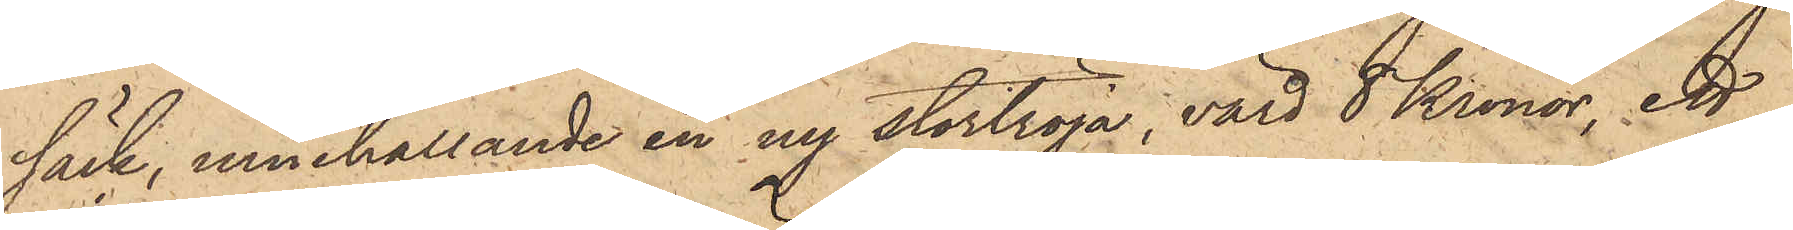säck, innehållande en ny stortröja, värd 8 Kronor, ett
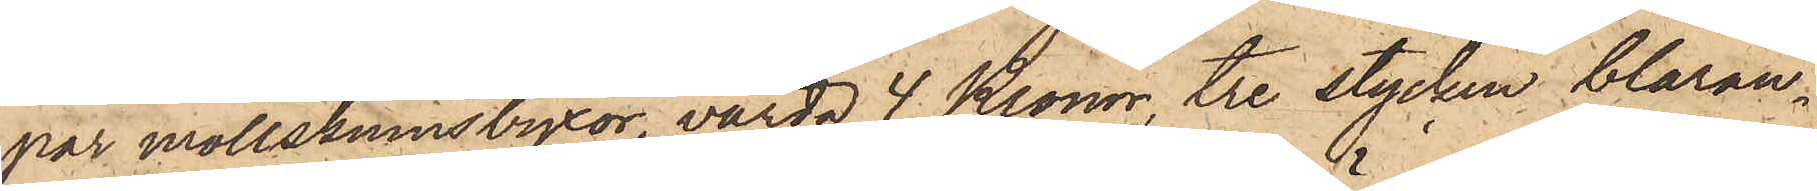par mollskinnsbyxor, värda 4 Kronor, tre stycken blåran¬
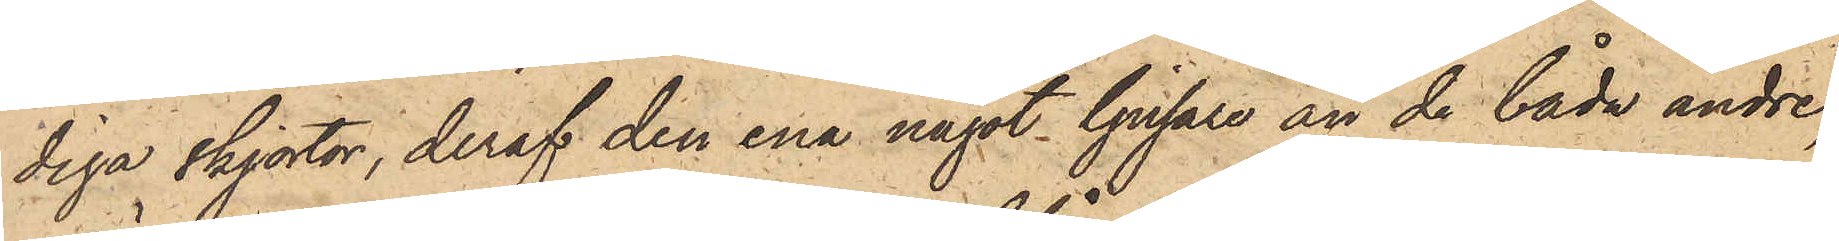diga skjortor, deraf den ena något ljusare än de båda andre,
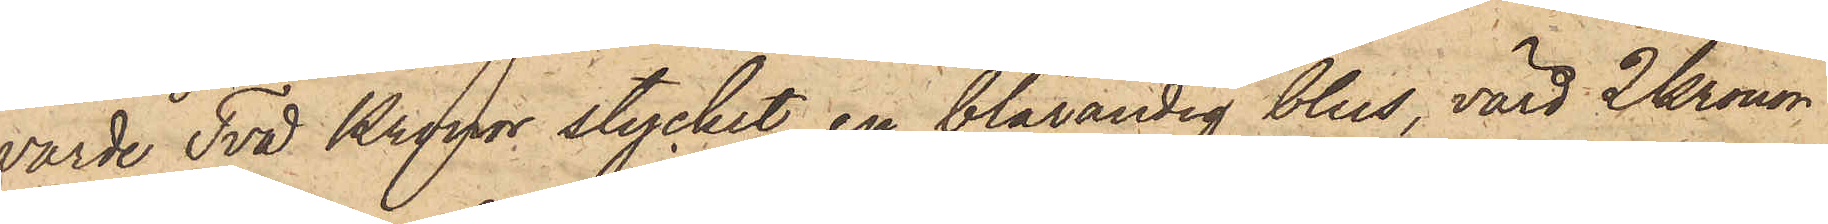värde Två Kronor stycket, en blårandig blus, värd 2 Kronor
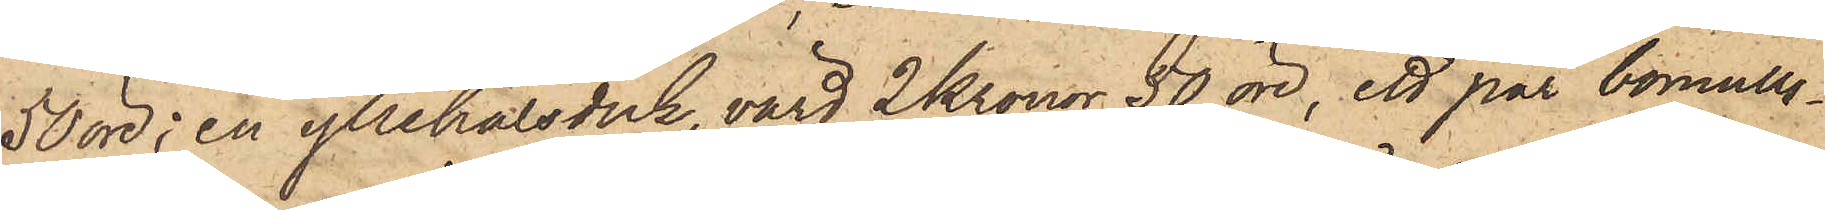50 öre, en yllehalsduk, värd 2 Kronor 50 öre, ett par bomulls¬
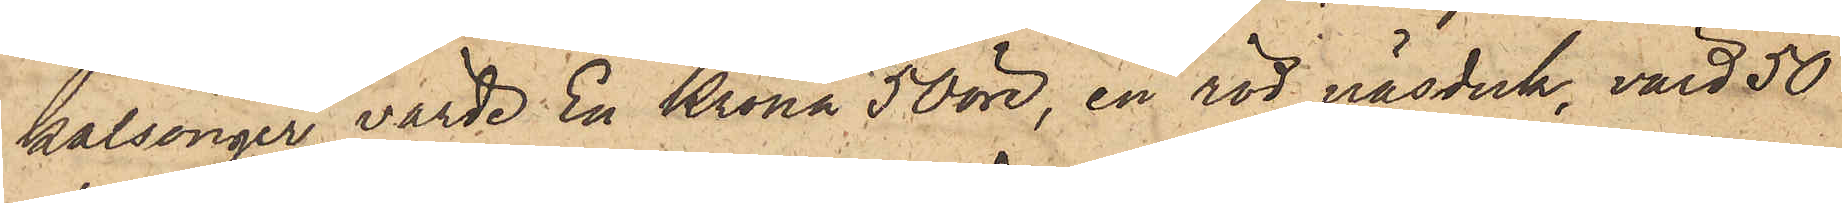kalsonger, värde En Krona 50 öre, en röd näsduk, värd 50
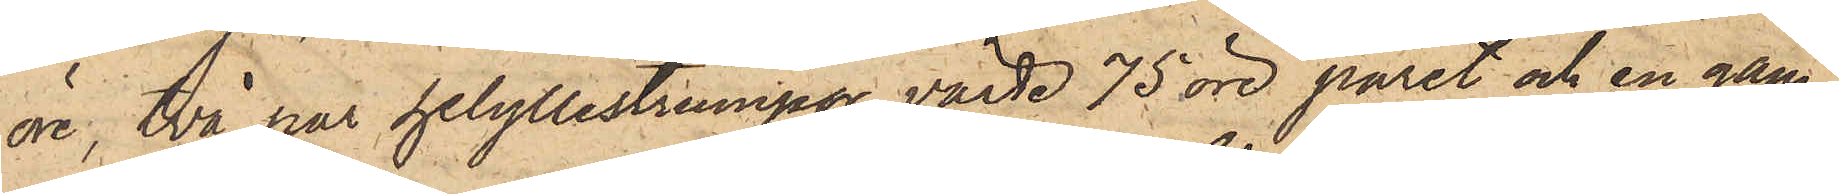öre, två par helyllestrumpor, värde 75 öre paret och en gam¬
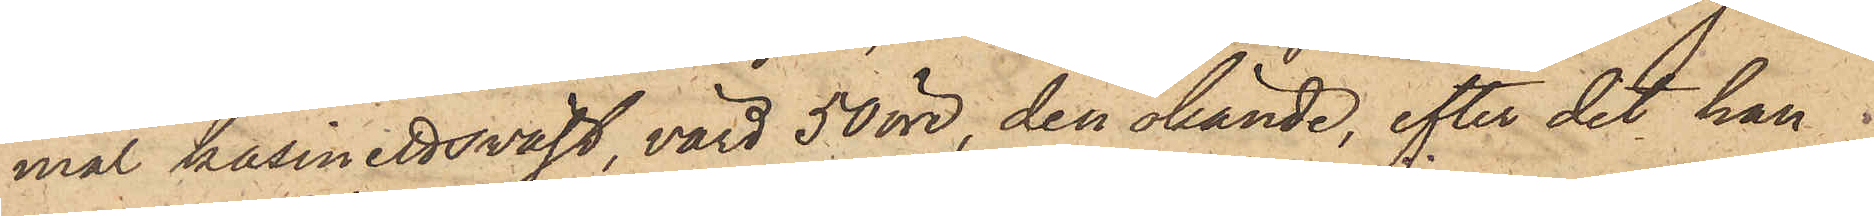mal kassinettsväst, värd 50 öre, den okände, efter det han 
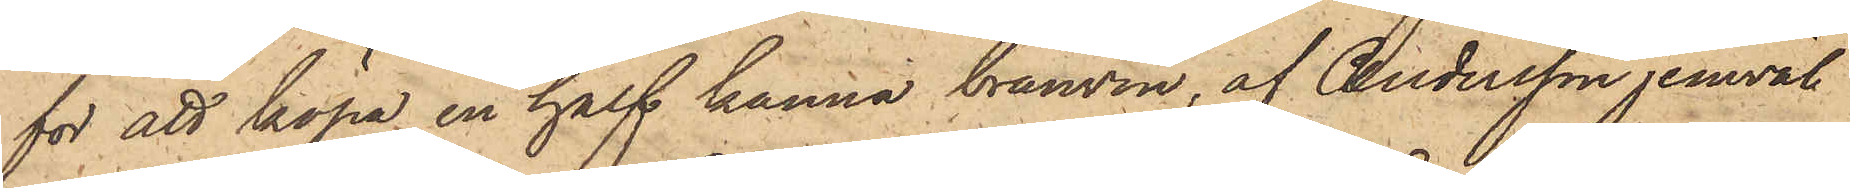för att köpa en half kanna bränvin, af Andersson jemväl
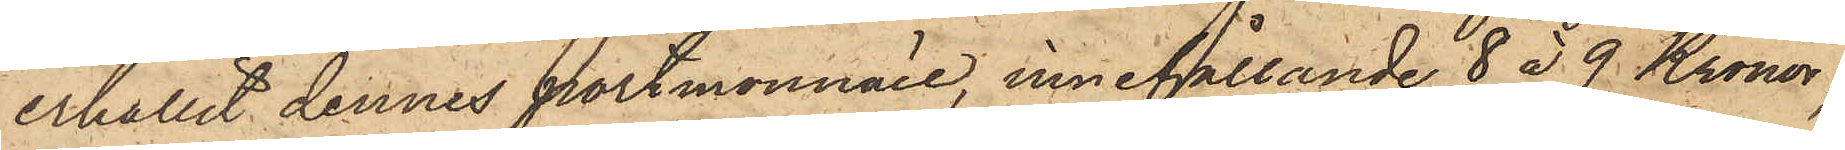erhållit dennes portmonnaie, innehållande 8 à 9 Kronor,
